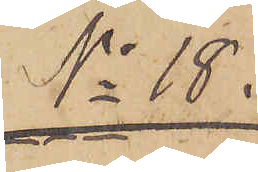No 18
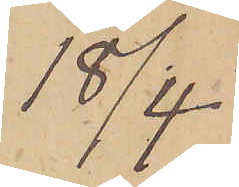18/4.
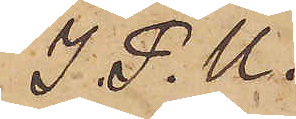I. P.U.
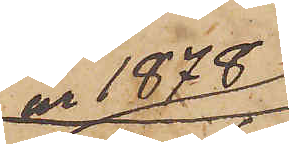år 1878
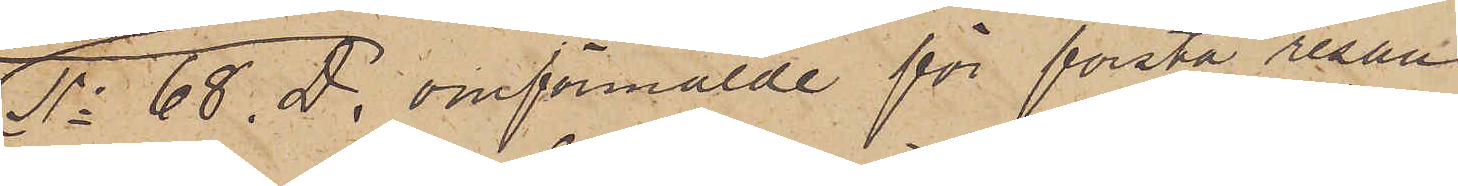No 68. D. omförmälde för första resan
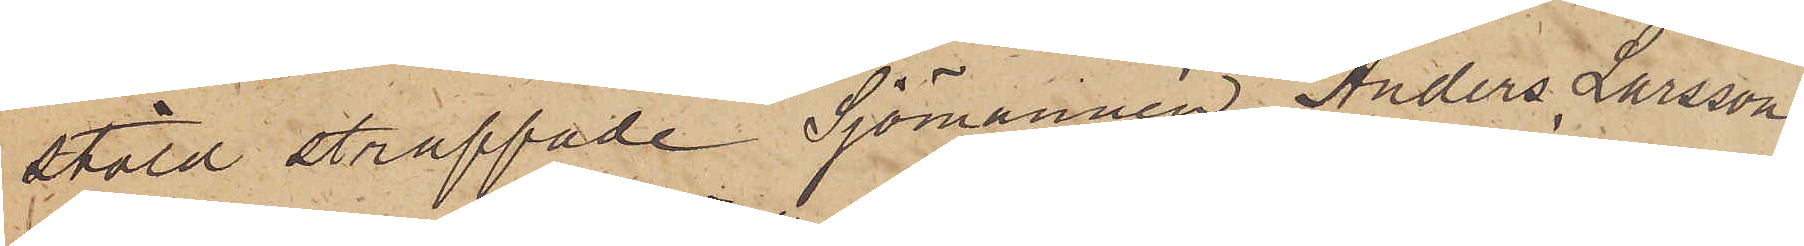stöld straffade Sjömannen Anders Larsson
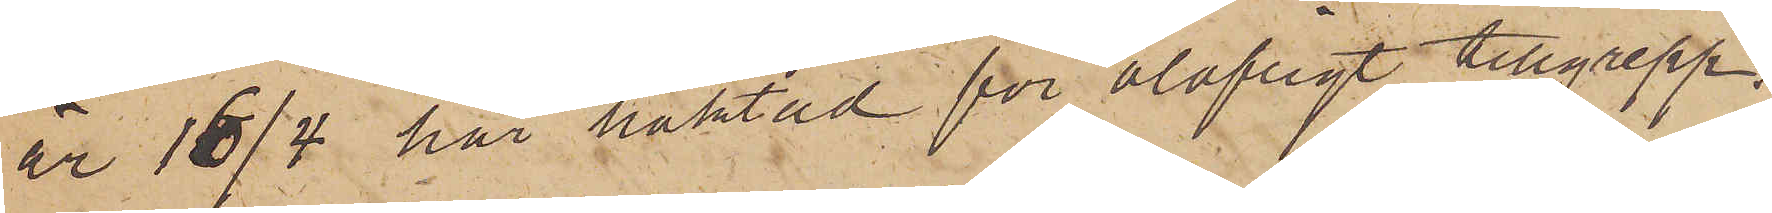är 16/4 här häktad för olofligt tillgrepp,
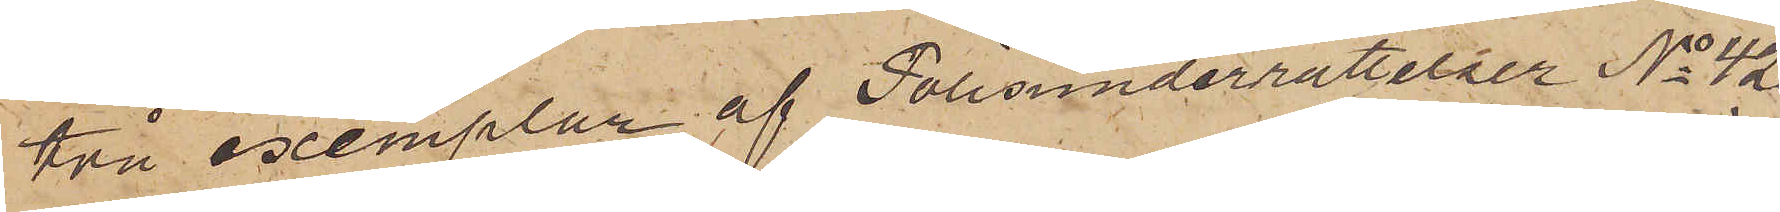två exemplar af Polisunderrättelser No 42
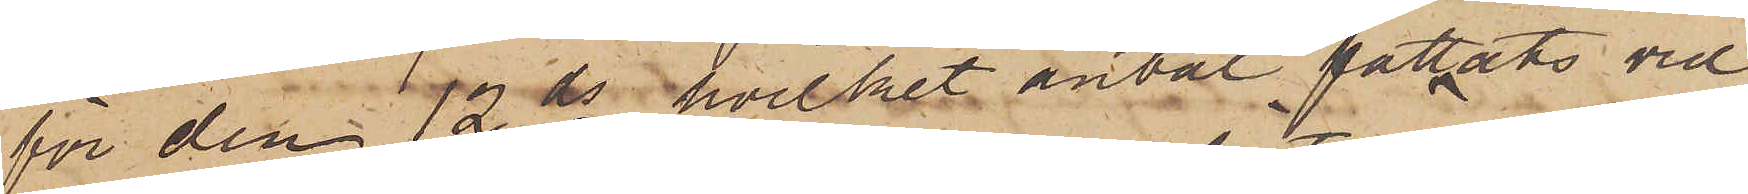för den 12 ds, hvilket antal fattats vid
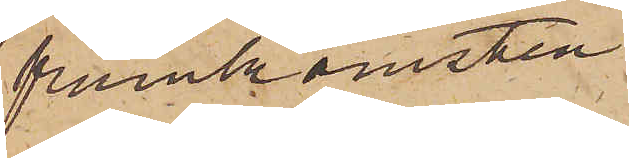framkomsten
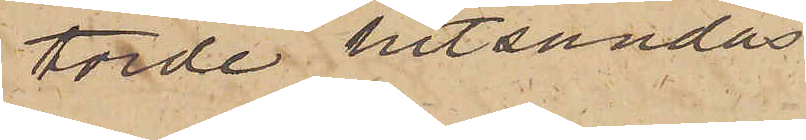torde hitsändas.
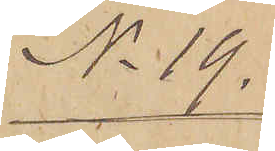No 19.
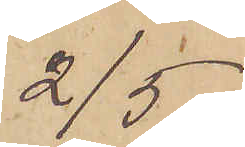2/5.
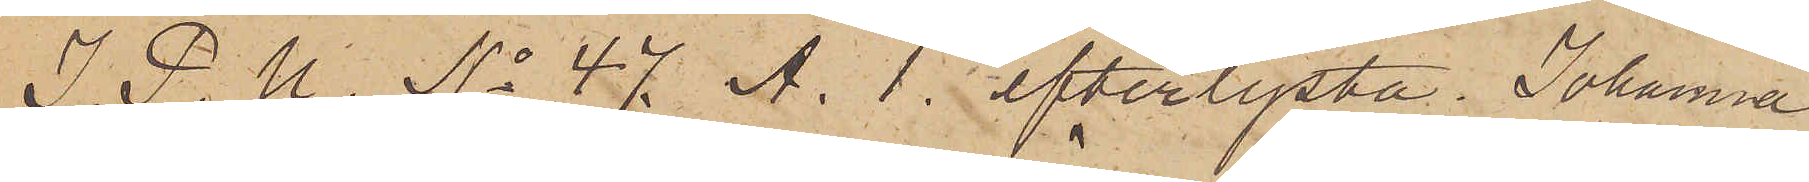I. P. U. No 47 A. 1. efterlysta Johanna
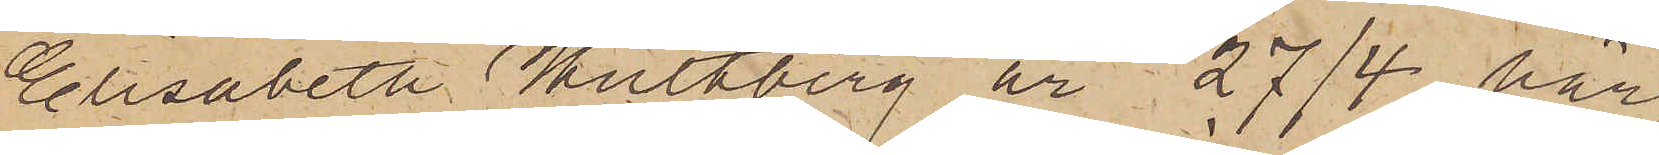Elisabeth Hultberg är 27/4 här
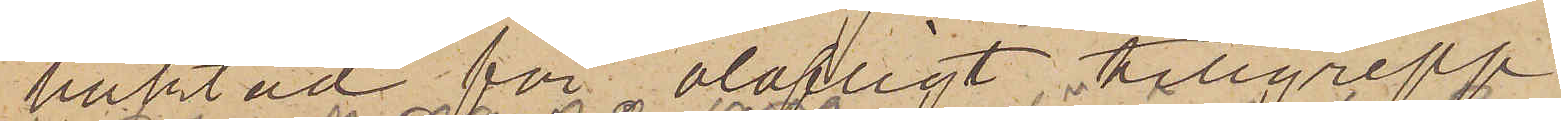häktad för olofligt tillgrepp.
